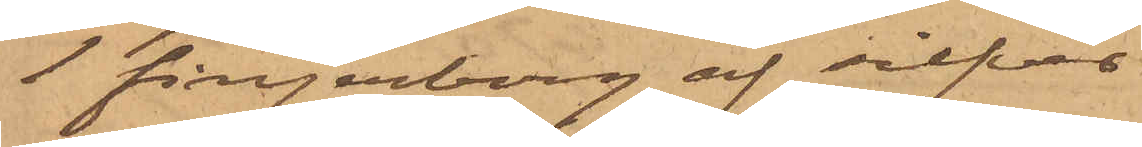1 fingerborg af silfver
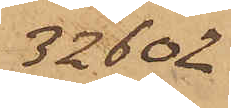32602
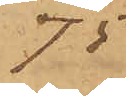.75
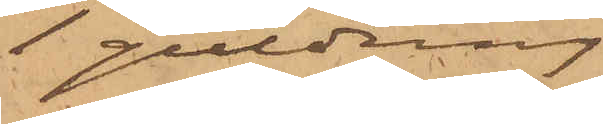1 guldring
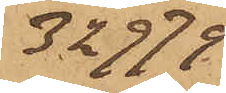32979
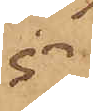5
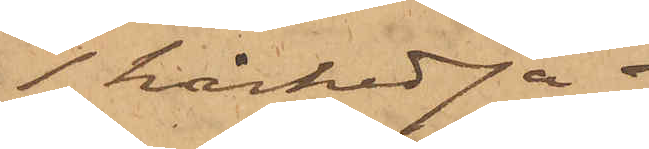1 hårkedja 
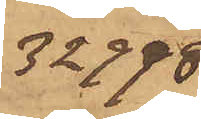32998
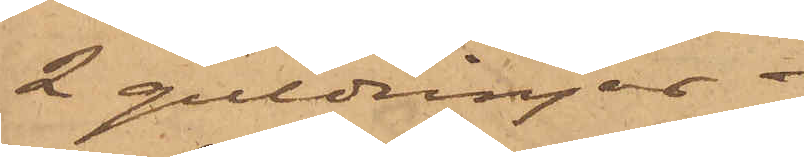2 guldringar.
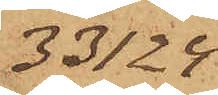33124
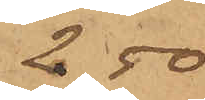2,50
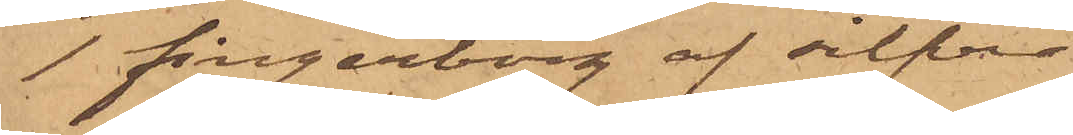1 fingerborg af silfver
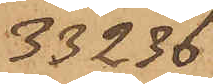33236
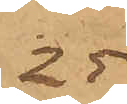-.25
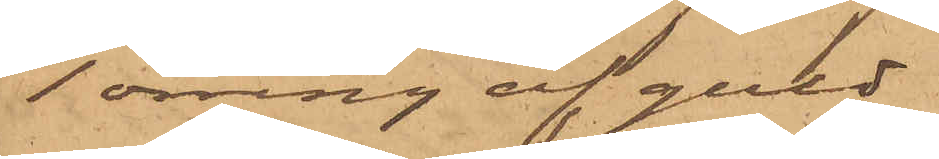1 örring af guld
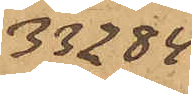33284
